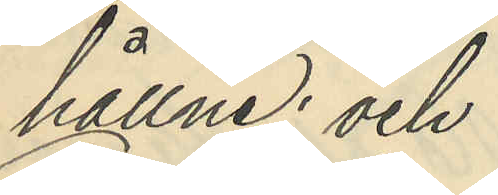hållne; och
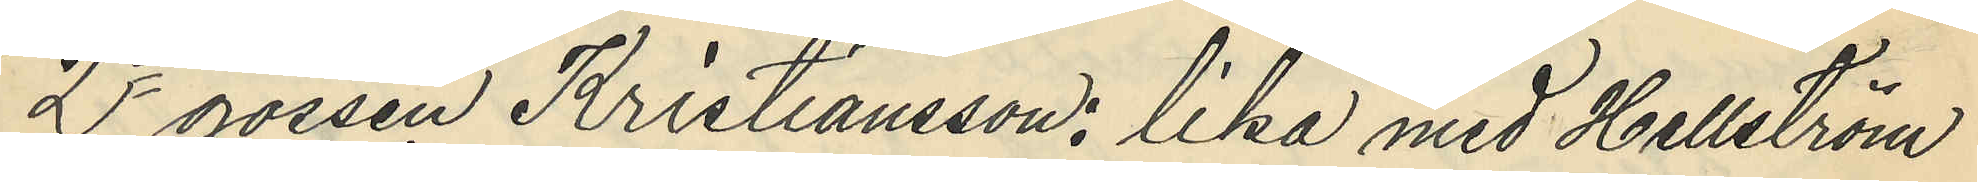2o gossen Kristiansson, lika med Hellström
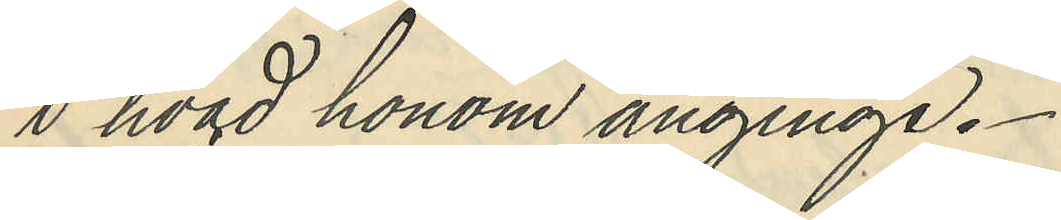i hvad honom anginge.
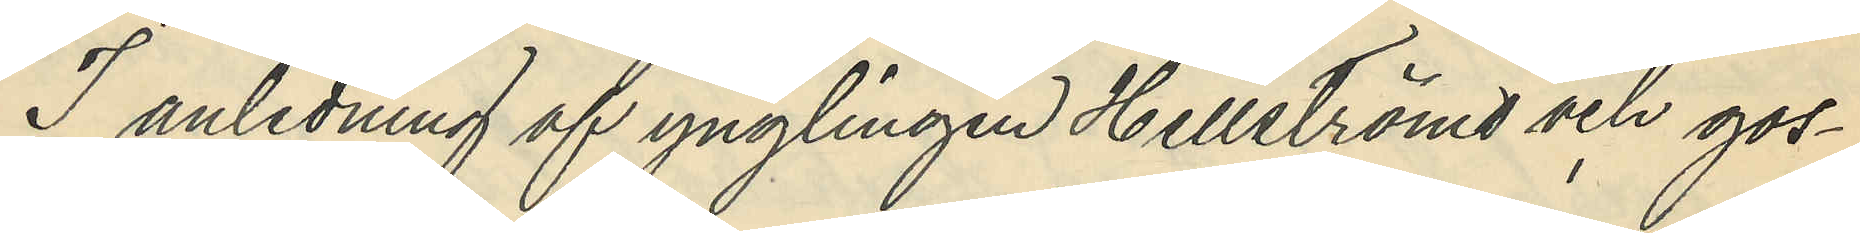I anledning af ynglingen Hellströms och gos¬
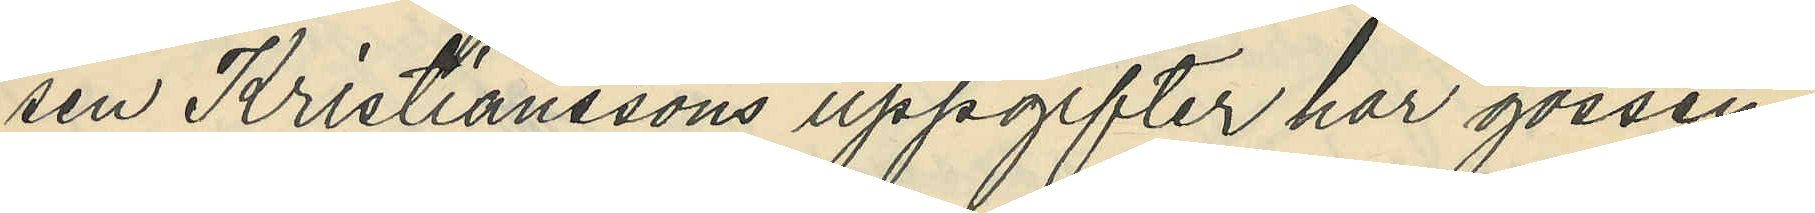sen Kristianssons uppgifter har gossen
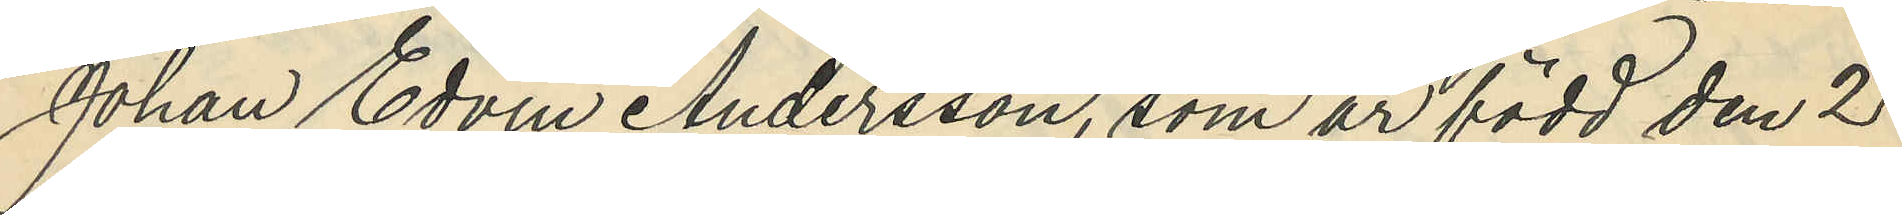Johan Edvin Andersson, som är född den 2
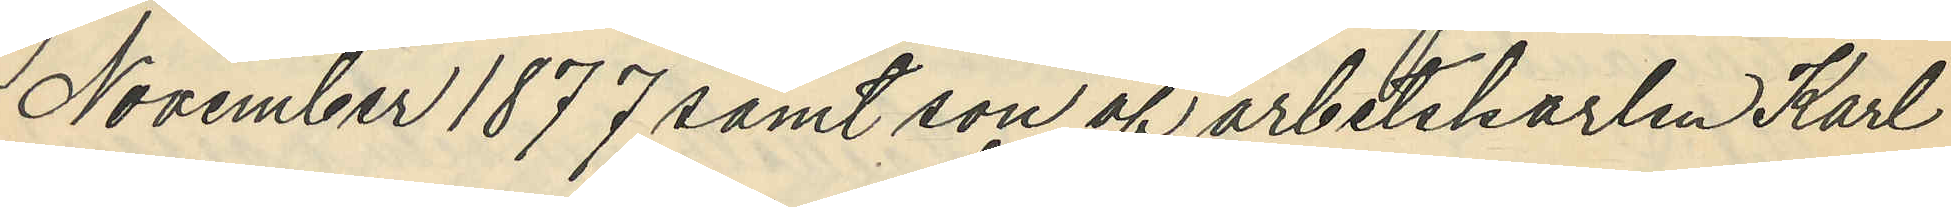November 1877 samt son af arbetskarlen Karl
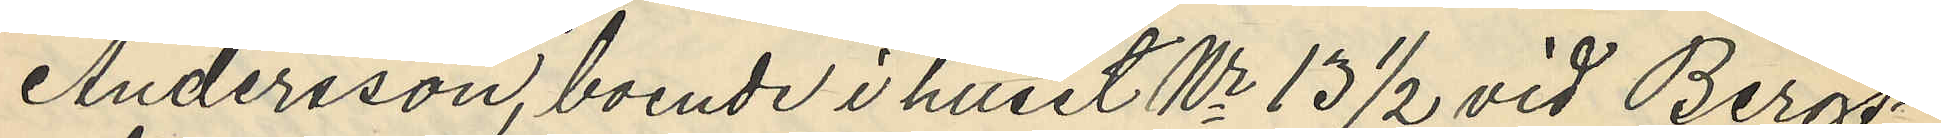Andersson, boende i huset Nr 13 1/2 vid Bergs¬
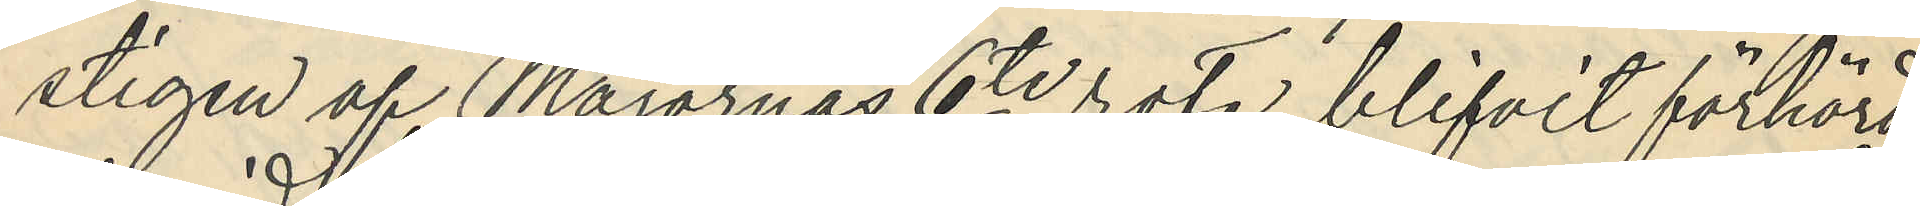stigen af Majornas 6te rote blifvit förhörd,
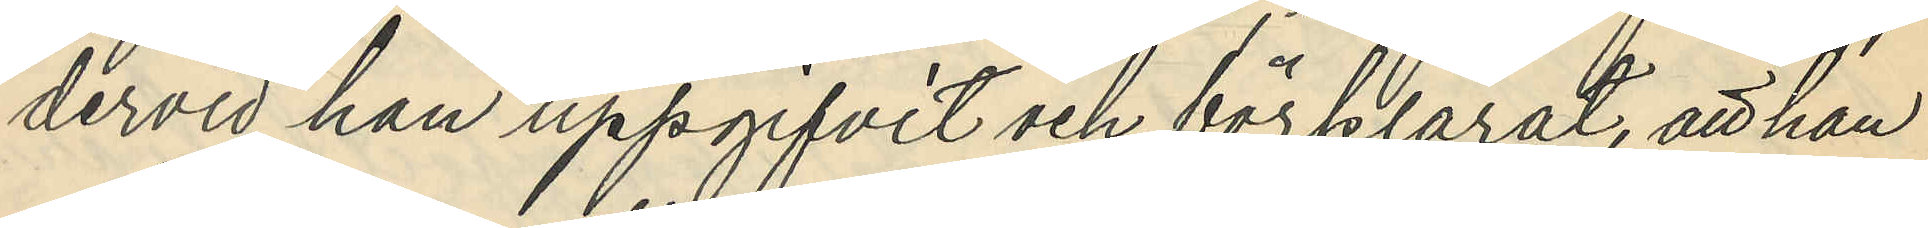dervid han uppgifvit och förklarat, att han
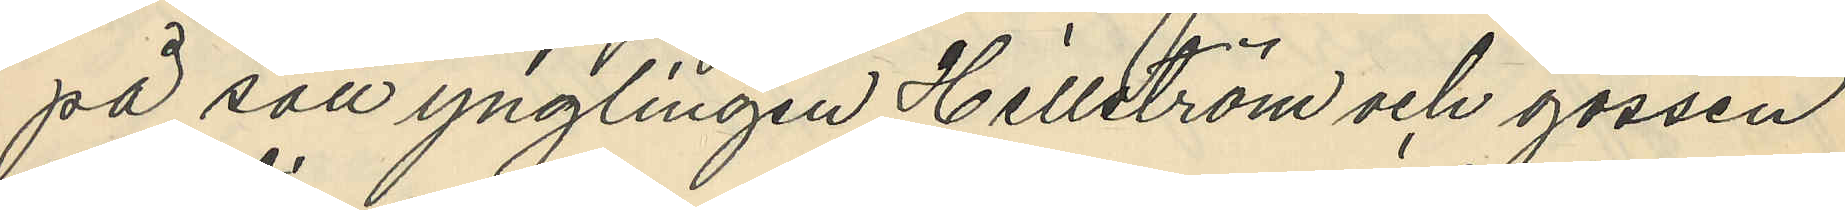på sätt ynglingen Hellström och gossen
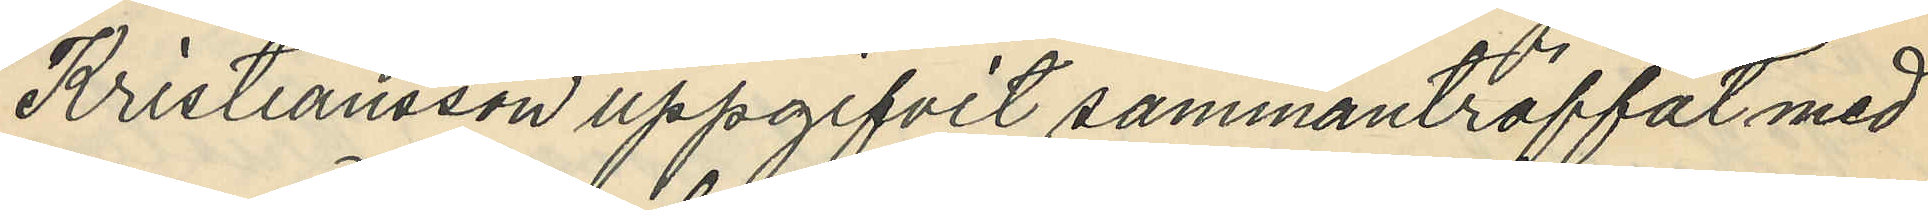Kristiansson uppgifvit sammanträffat med
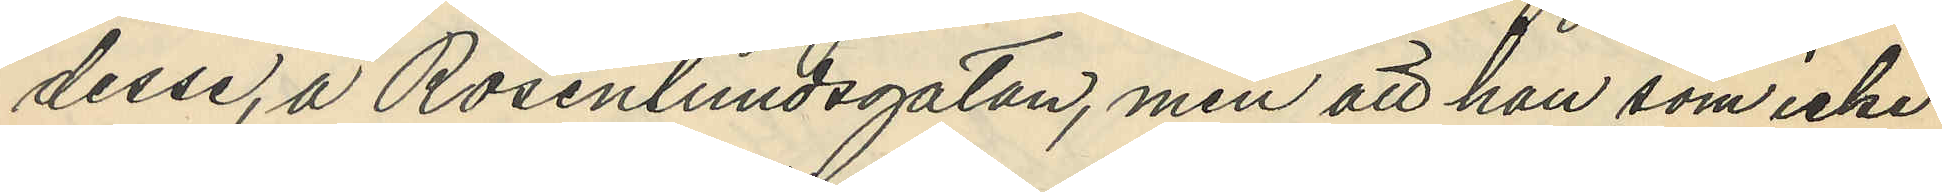desse, å Rosenlundsgatan, men att han som icke
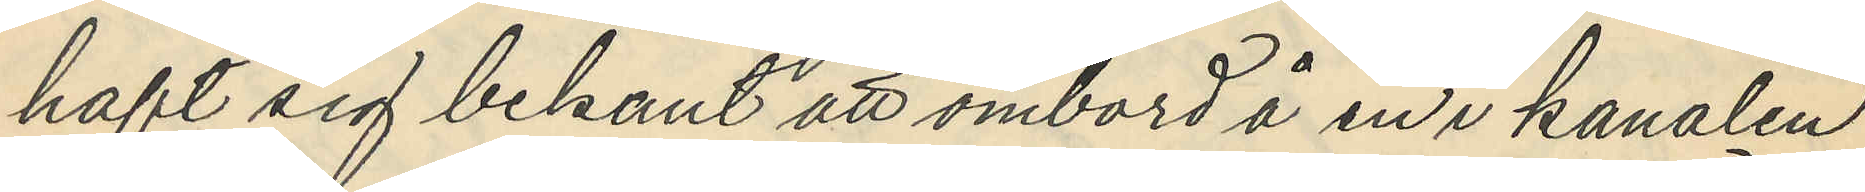haft sig bekant att ombord å en i kanalen
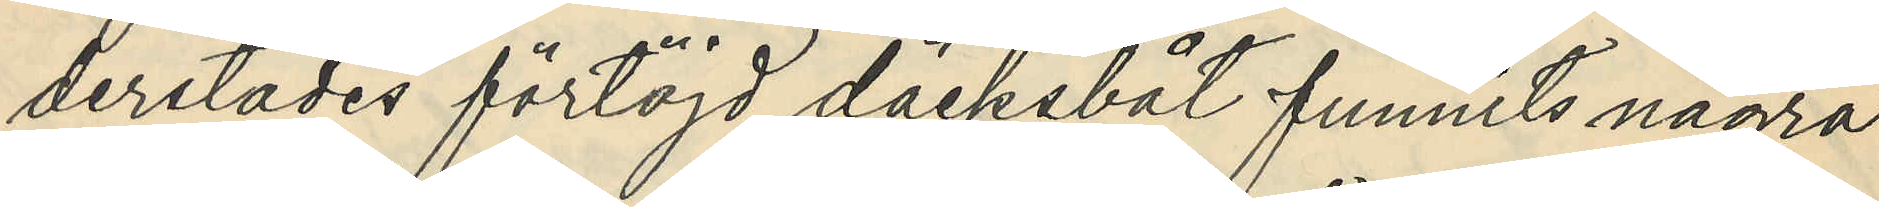derstädes förtöjd däcksbåt funnits några
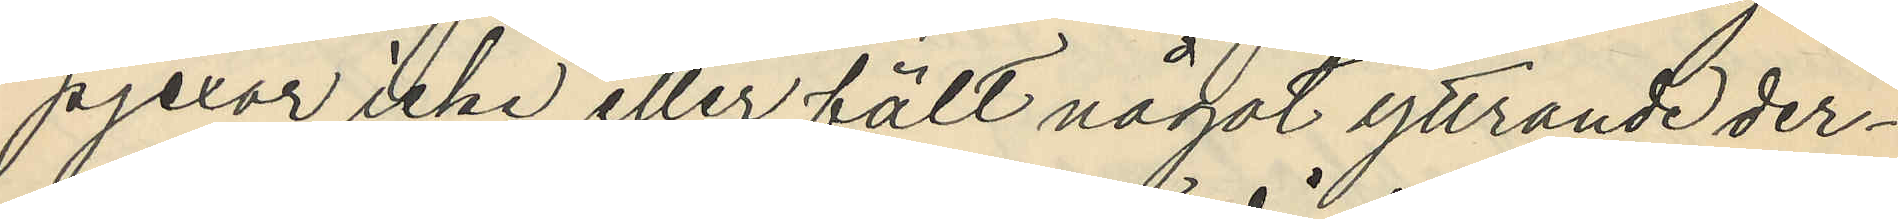pjexor icke eller fält något yttrande der¬
